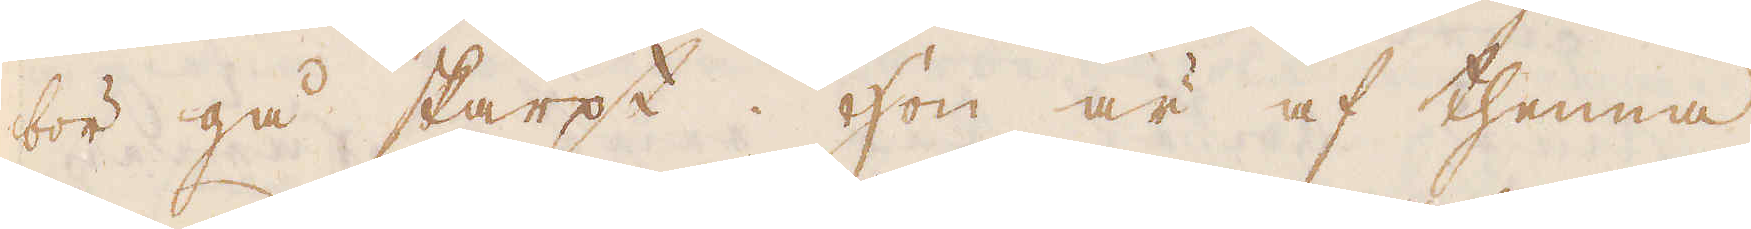bör gå skarpt. Hon är af thenna
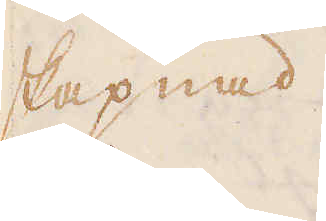skapnad
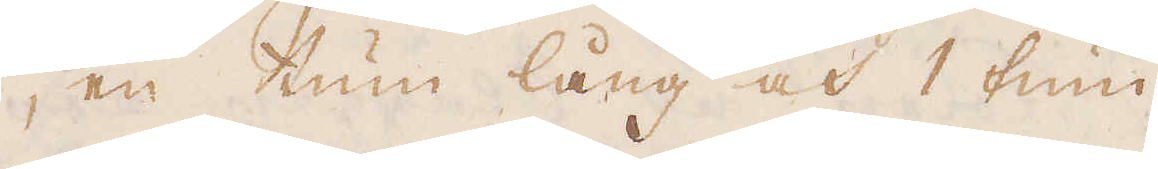, en tum lång och 1 tum
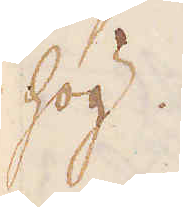hög.
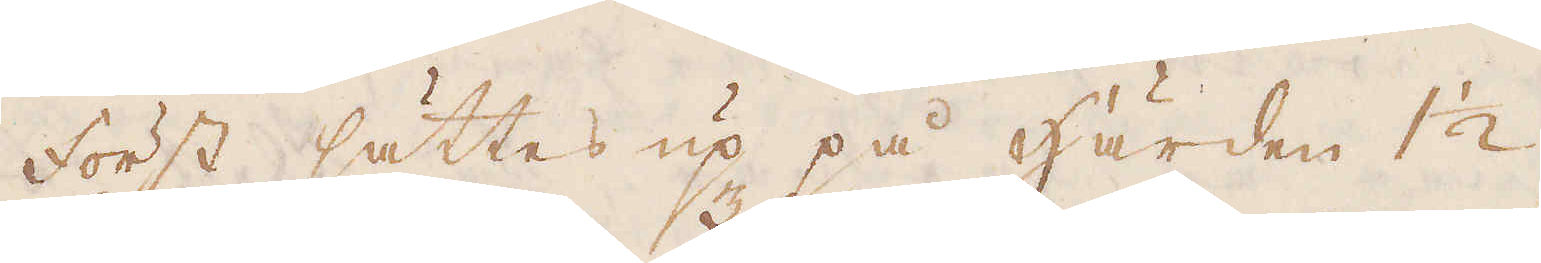Först sättes up på Härden 1 1/2
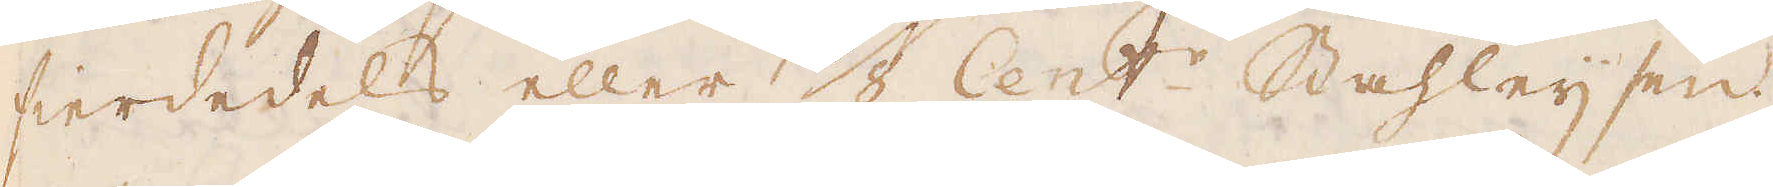fierdedels eller 1/2 Cent:r. Stahleijsen;
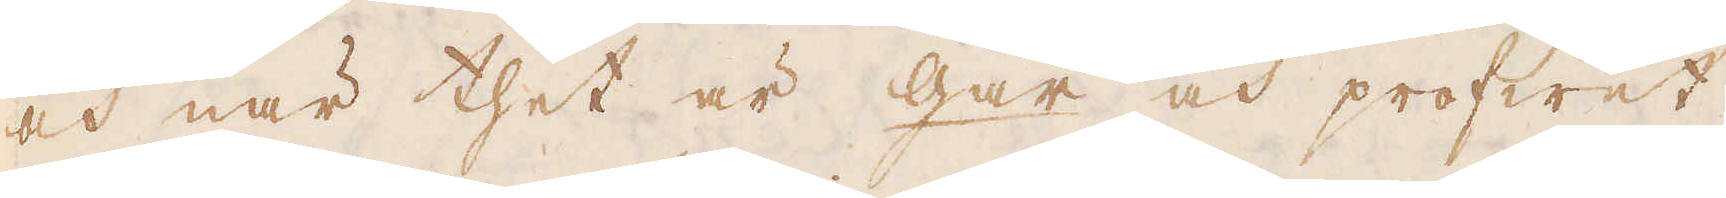och när thet är gar och profwet
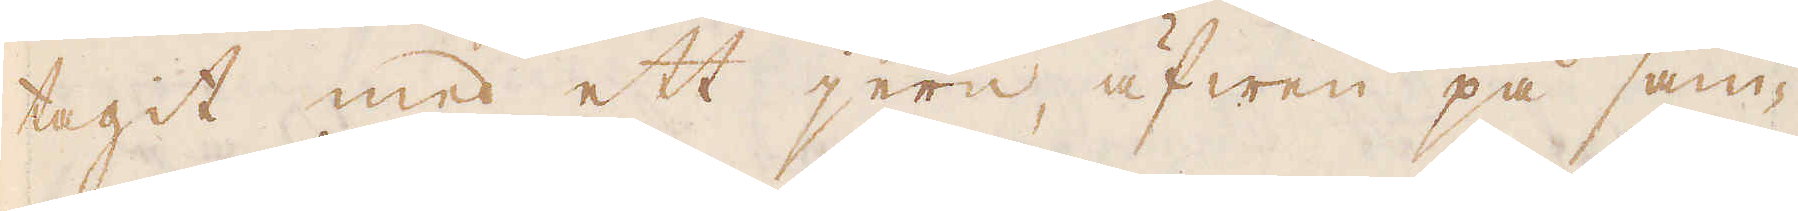tagit med ett jern, äfwen på sam-
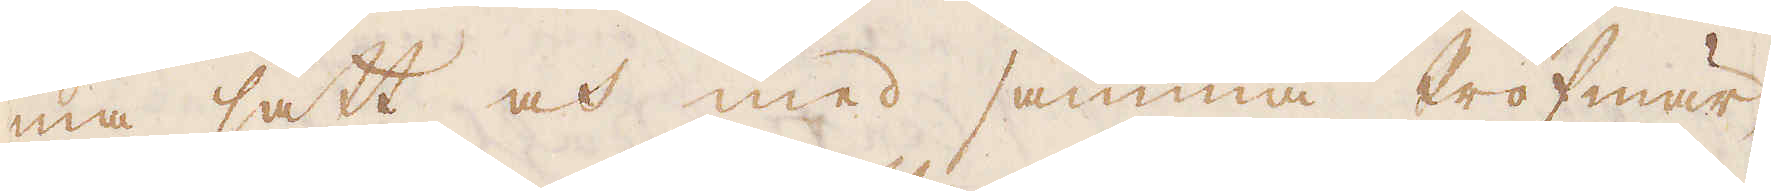ma sätt och med samma Profmär-
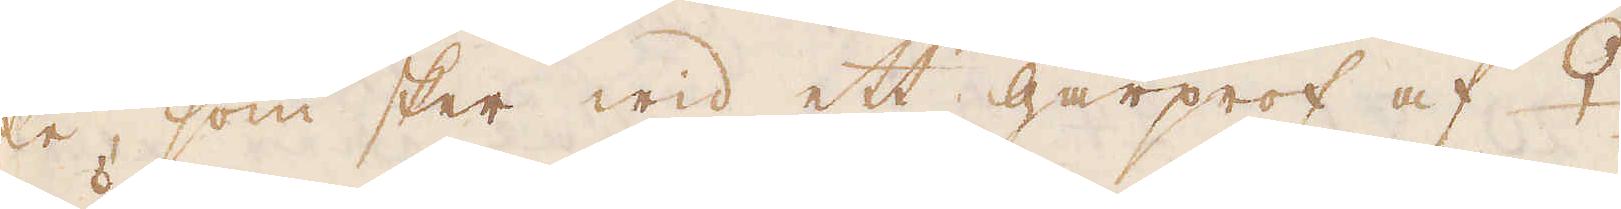ke, som sker wid ett gårprof af ♀
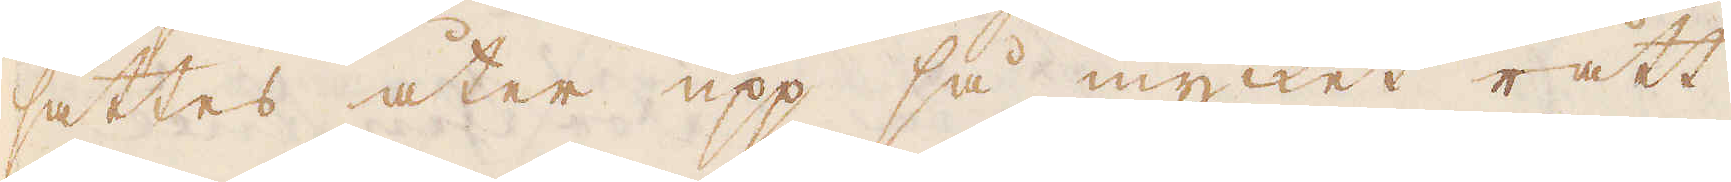sättes åter upp så mycket rått
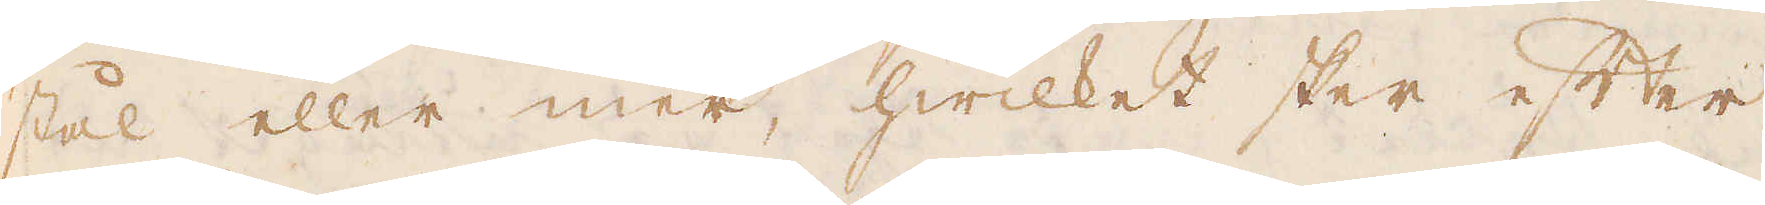stål eller mer, hwilket sker efter
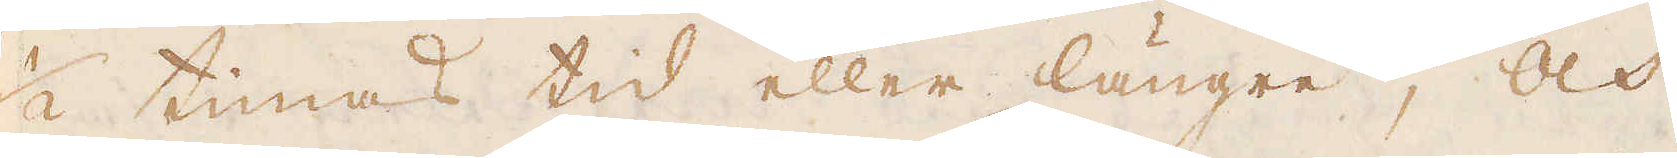1/2 timas tid eller längre; och
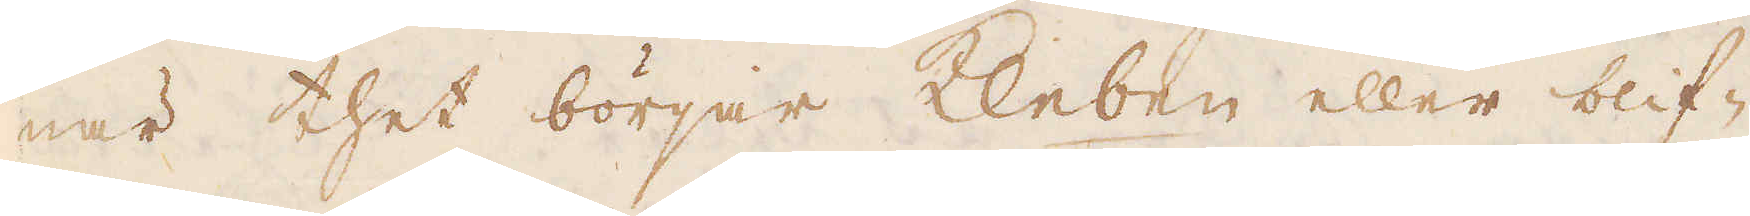när thet börjar Kleben eller blif-
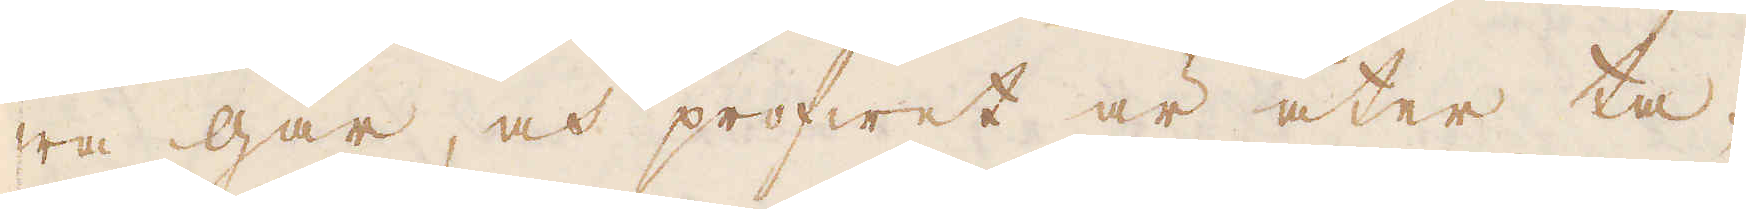wa gar, och profwet är åter ta-
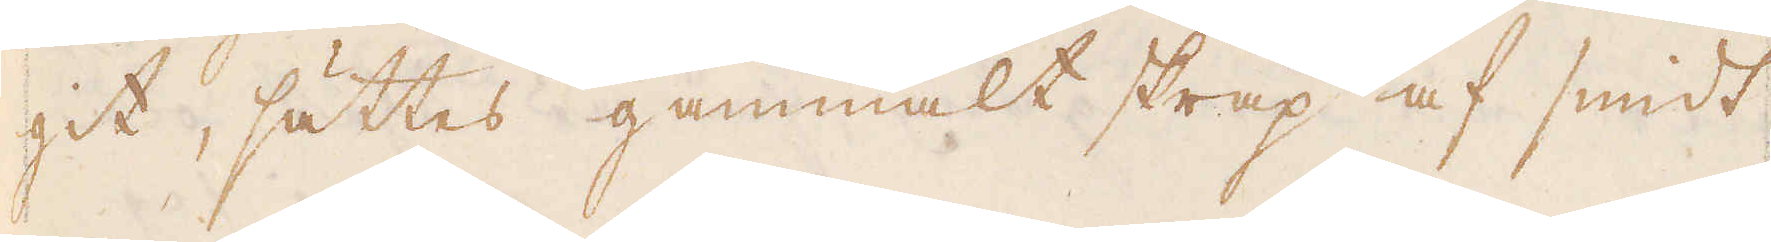git, sättes gammalt skräp af smidt
